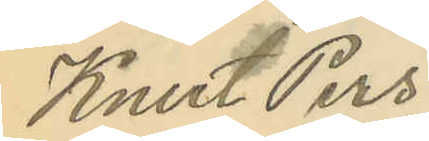Knut Pers¬
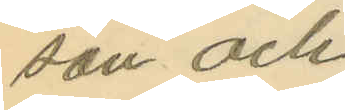son och
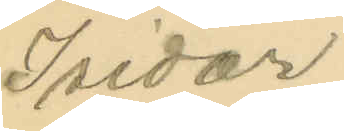Isidor
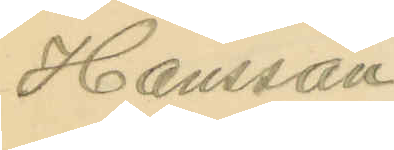Hansson.
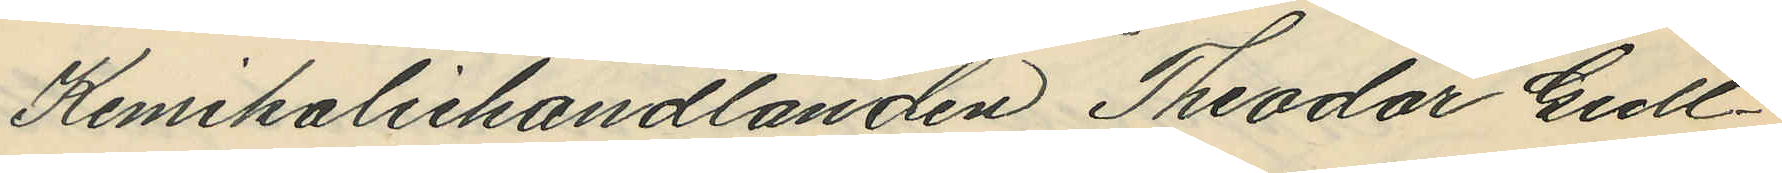Kemikaliehandlanden Theodor Gull¬
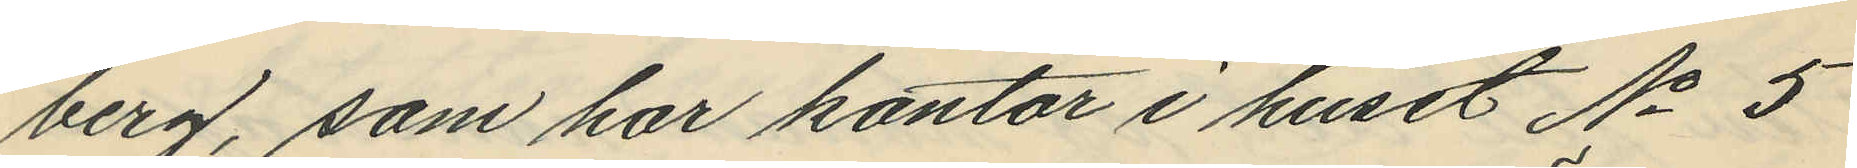berg, som har kontor i huset No 5
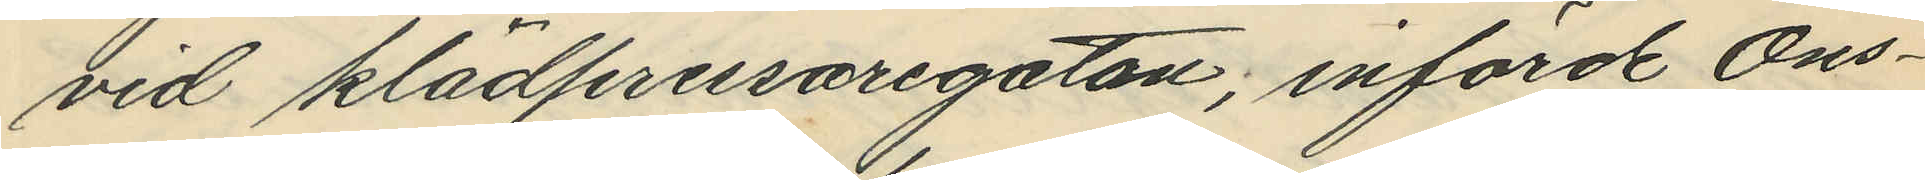vid klädpressaregatan; införde Ons¬
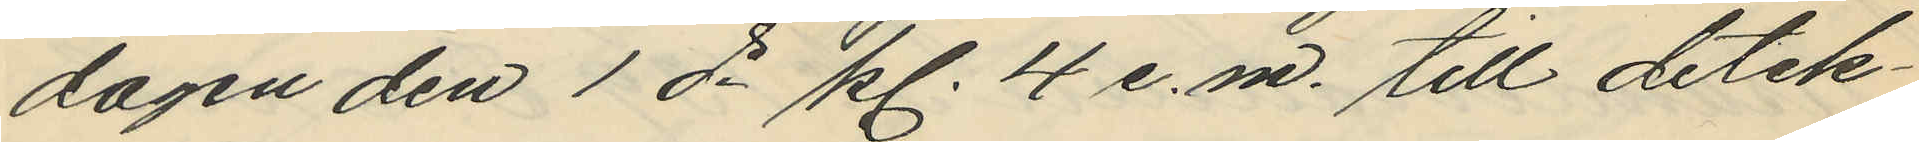dagen den 1 ds kl. 4 e.m. till detek¬
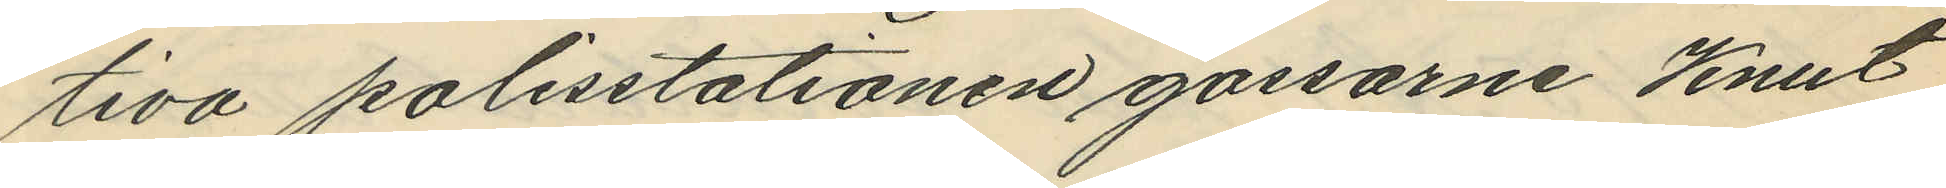tiva polisstationen gossarne Knut
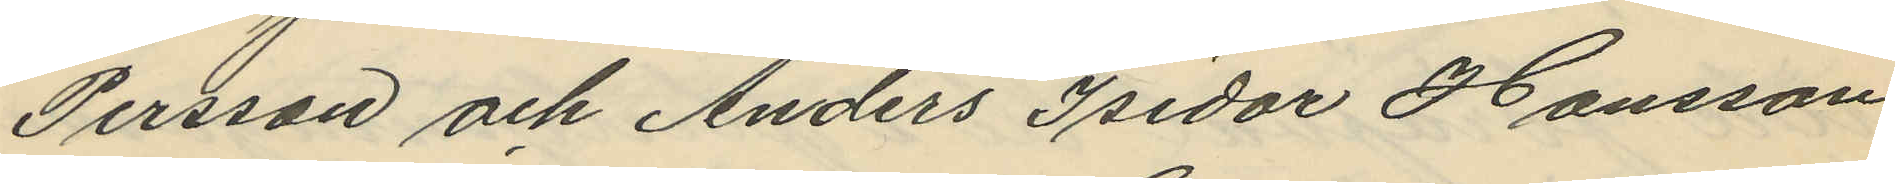Persson och Anders Isidor Hansson
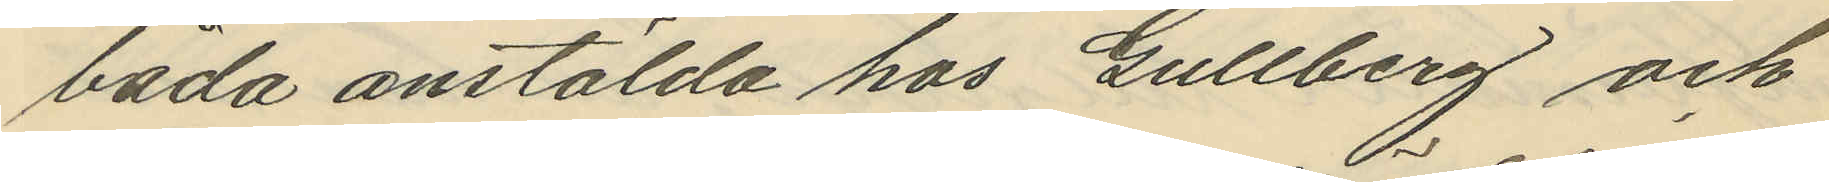båda anstälda hos Gullberg och
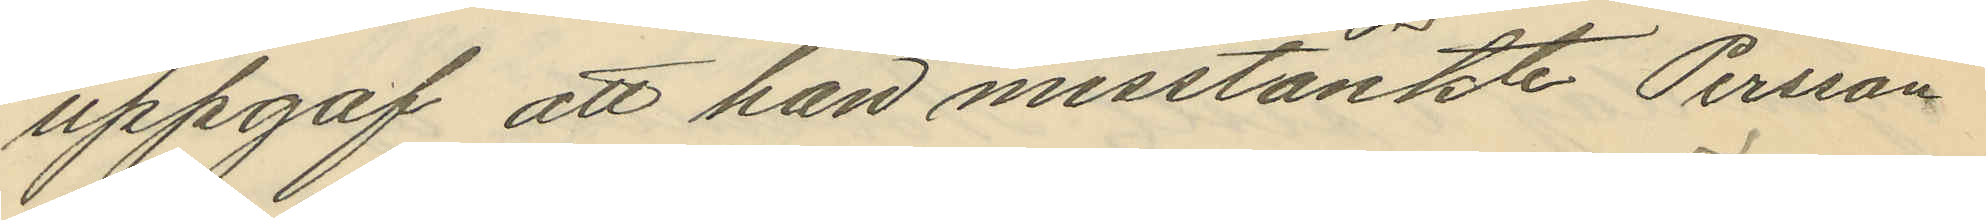uppgaf att han misstänkte Persson
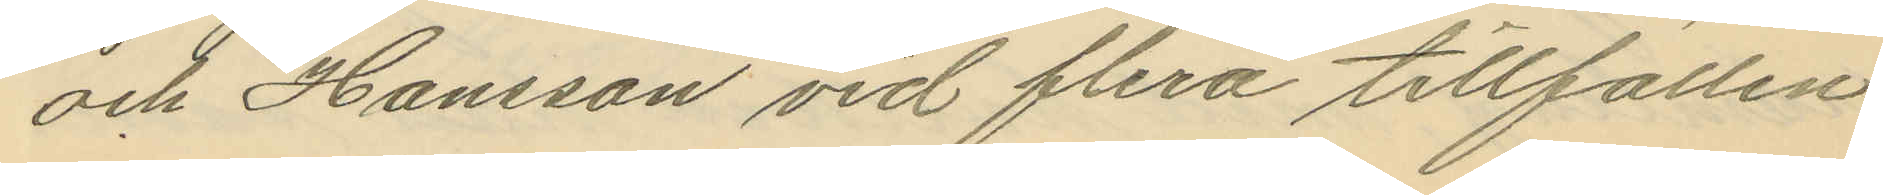och Hansson vid flera tillfällen
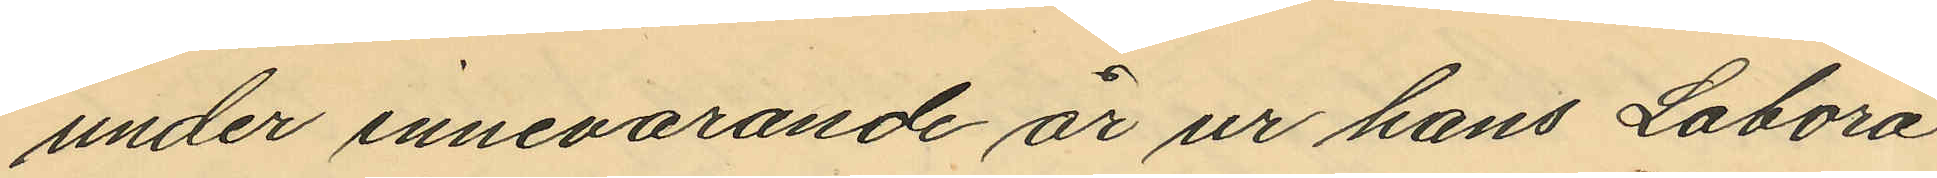under innevarande år ur hans Labora¬
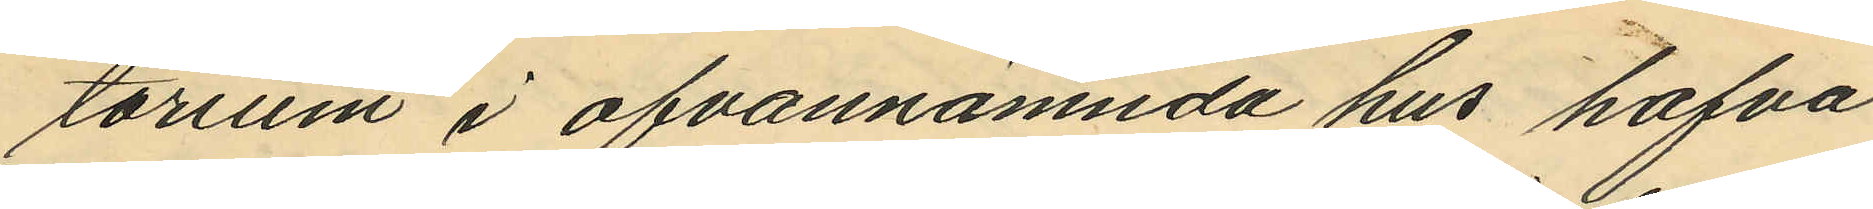torium i ofvannämnda hus hafva
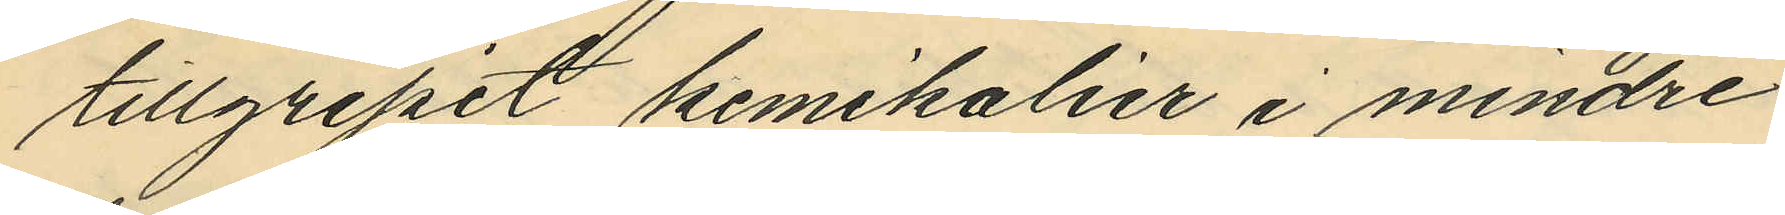tillgripit kemikalier i mindre
